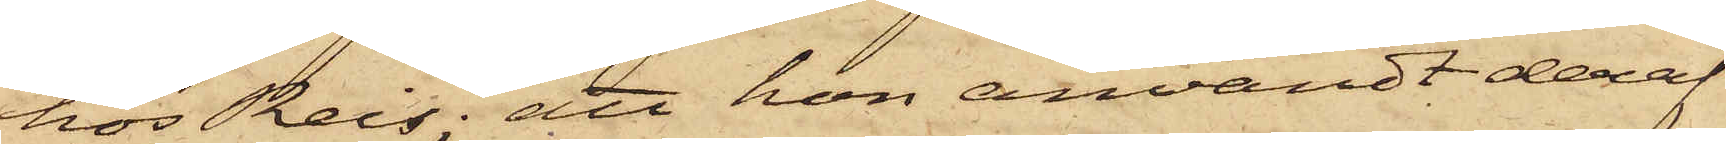hos Reis; att hon användt deraf
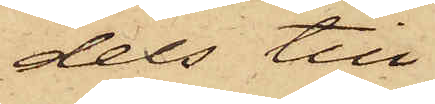dels till
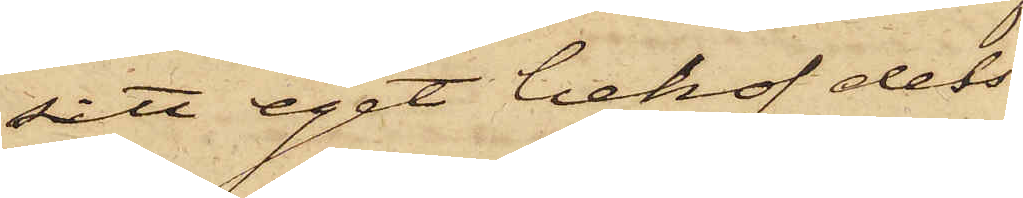sitt eget behof dels
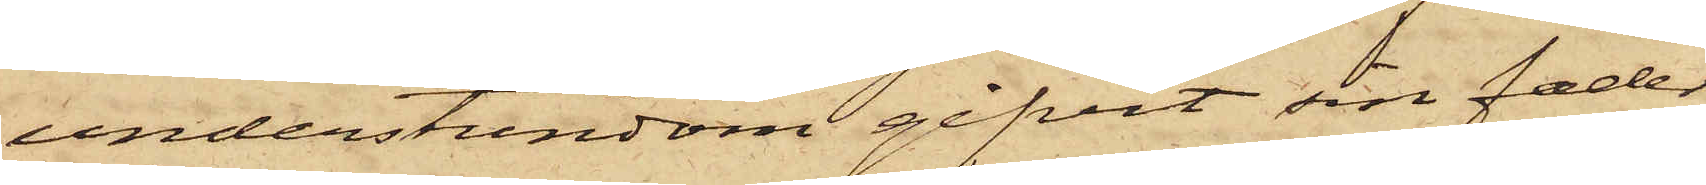understundom gifvit sin fader
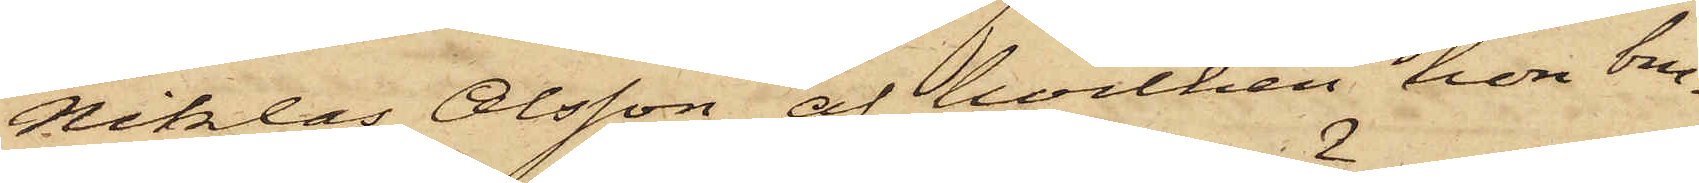Niklas Olsson, af hvilken hon bru¬
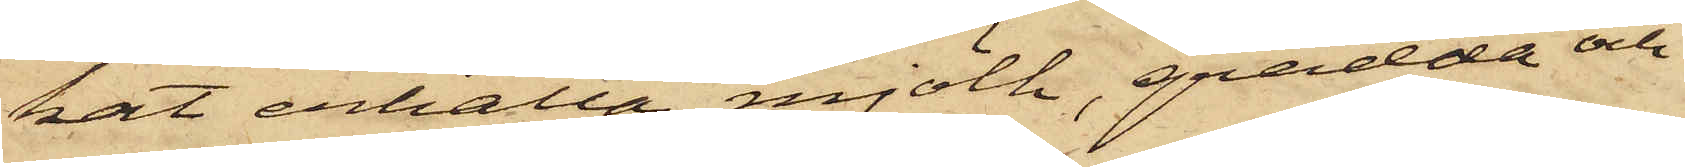kat erhålla mjölk, grädde och
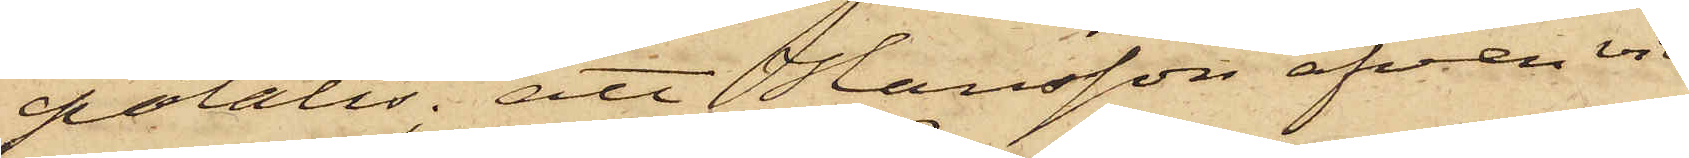potatis; att Hansson äfven vid
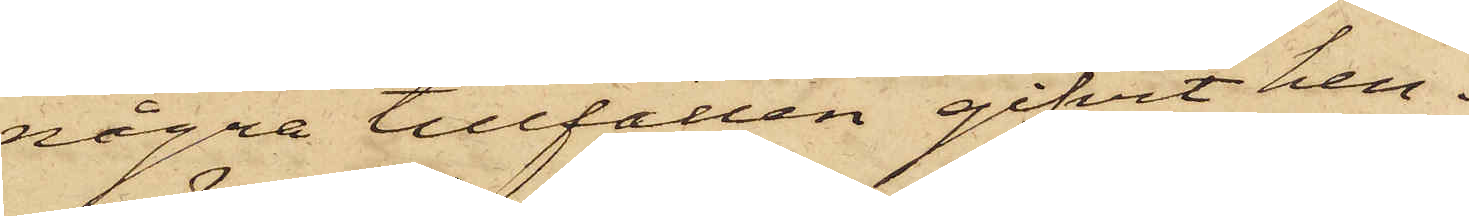några tillfällen gifvit hen¬
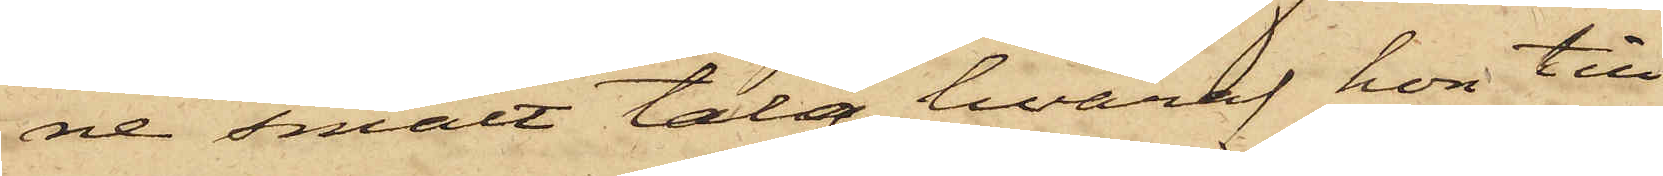ne smält talg, hvaraf hon till
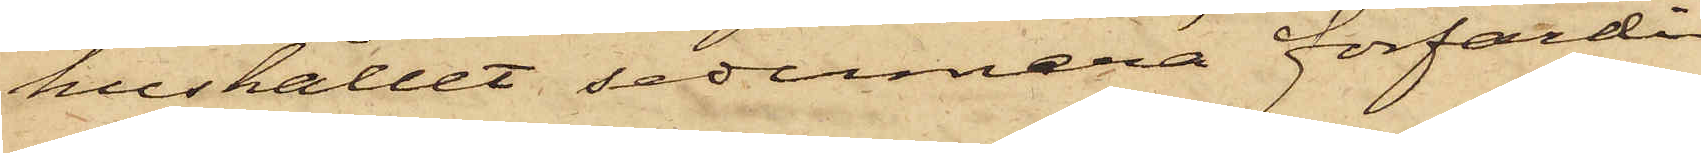hushållet sedermera förfärdi¬
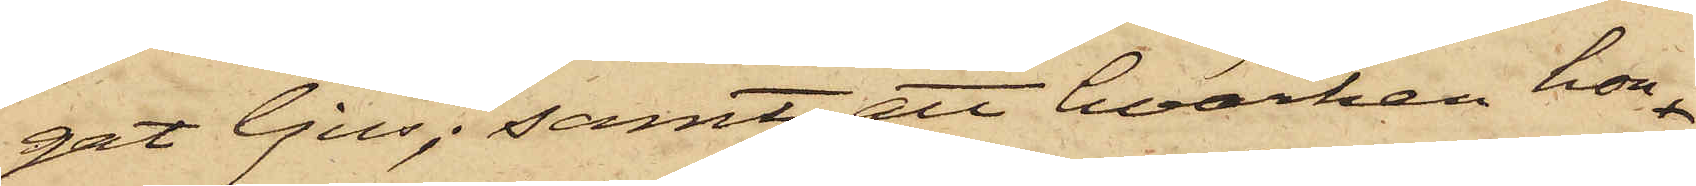gat ljus; samt att hvarken hon
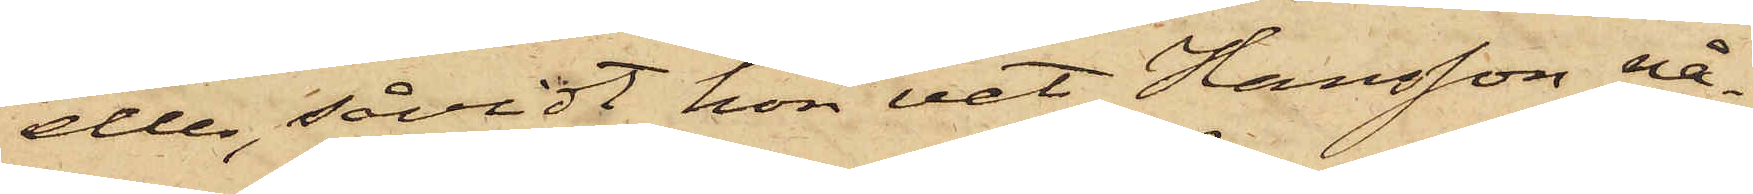eller, såvidt hon vet, Hansson nå¬
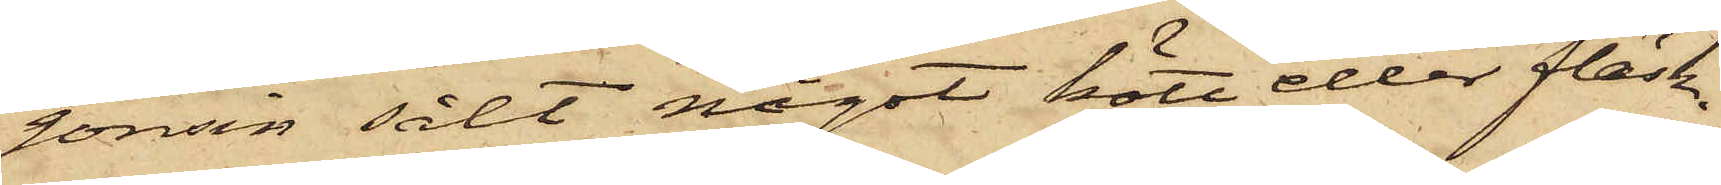gonsin sålt något kött eller fläsk.
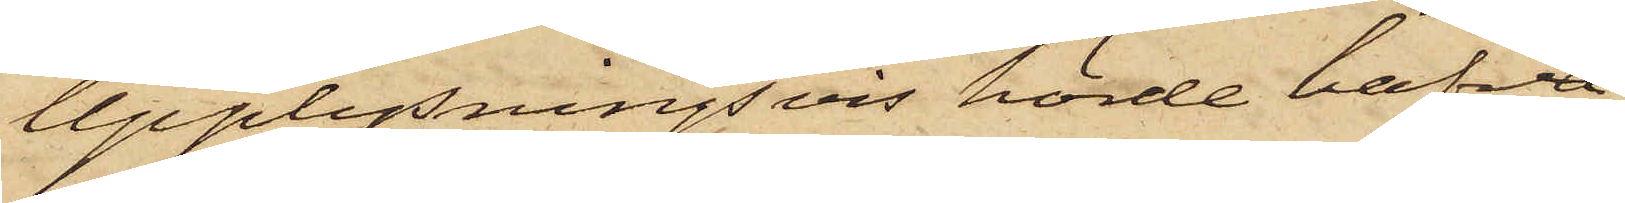Upplysningsvis hörde hafva
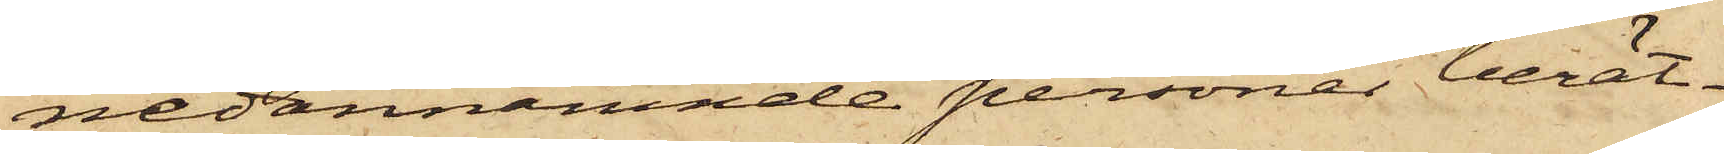nedannämnde personer berätt¬
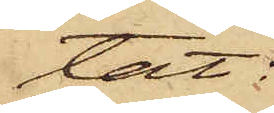tat:
